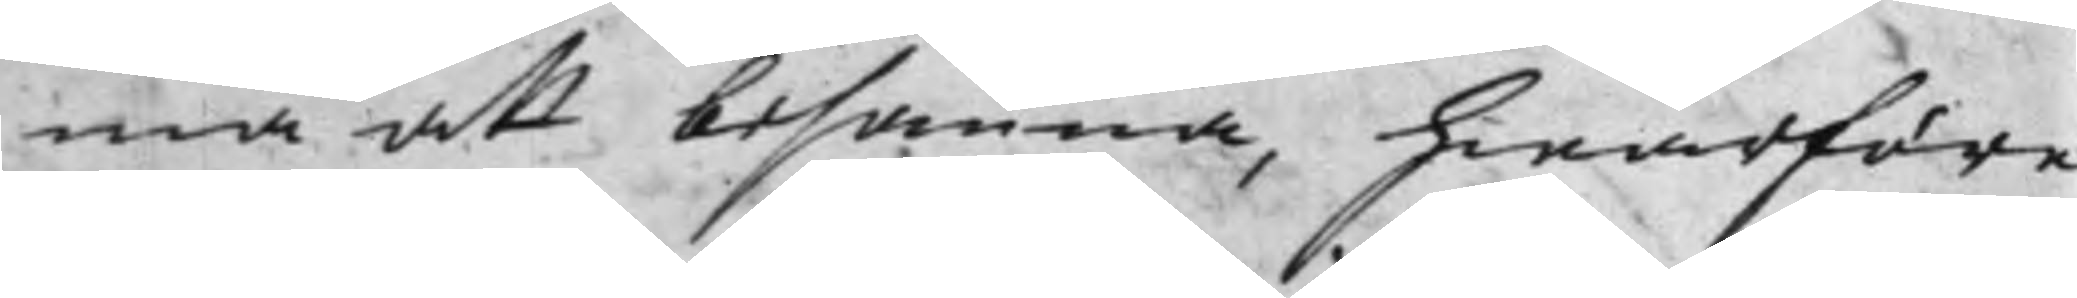ma att besanna, hwarföre
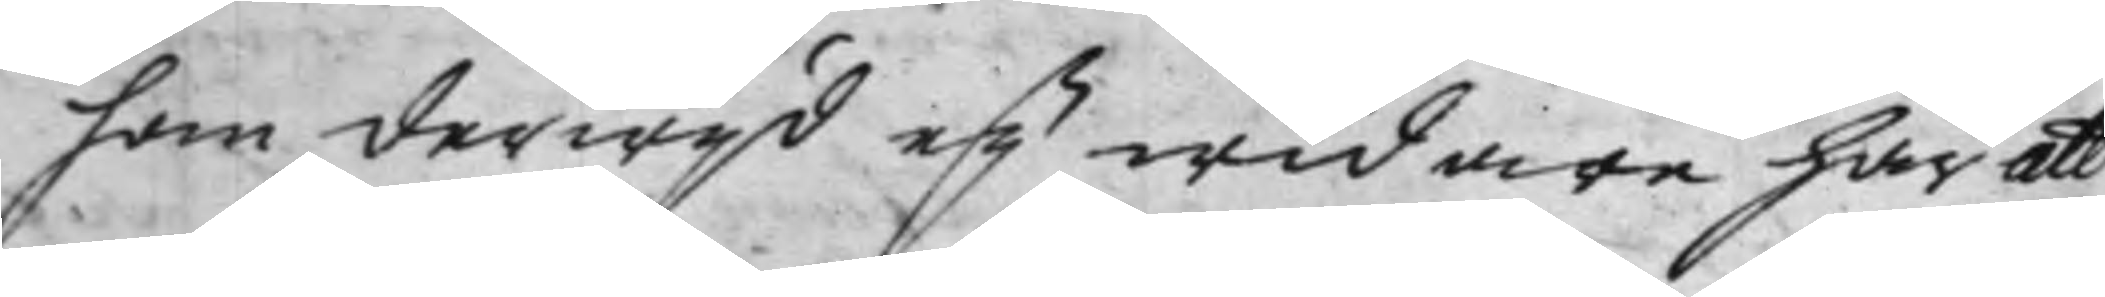han derwijd eij widare har att
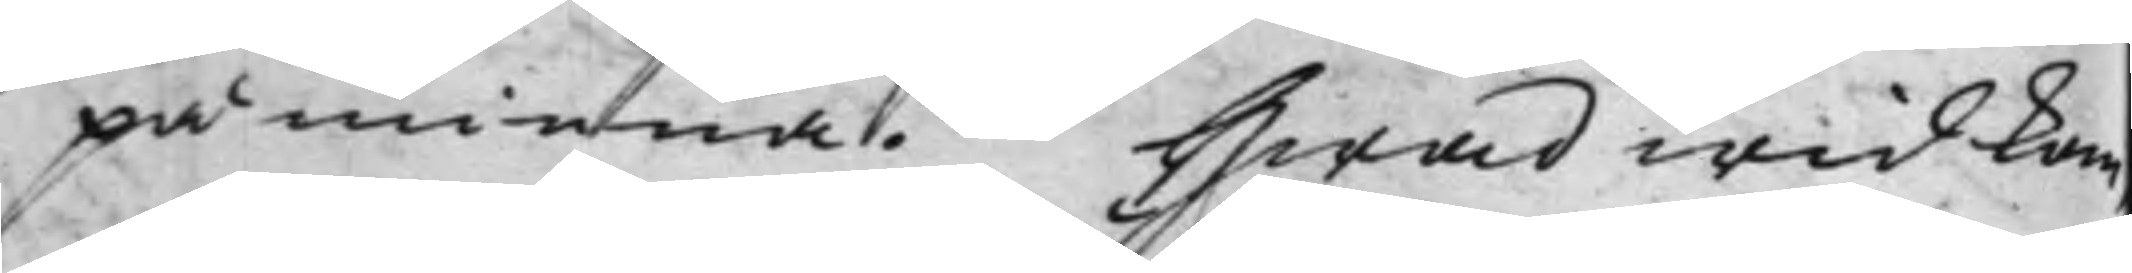påminna. Hwad wid kom¬
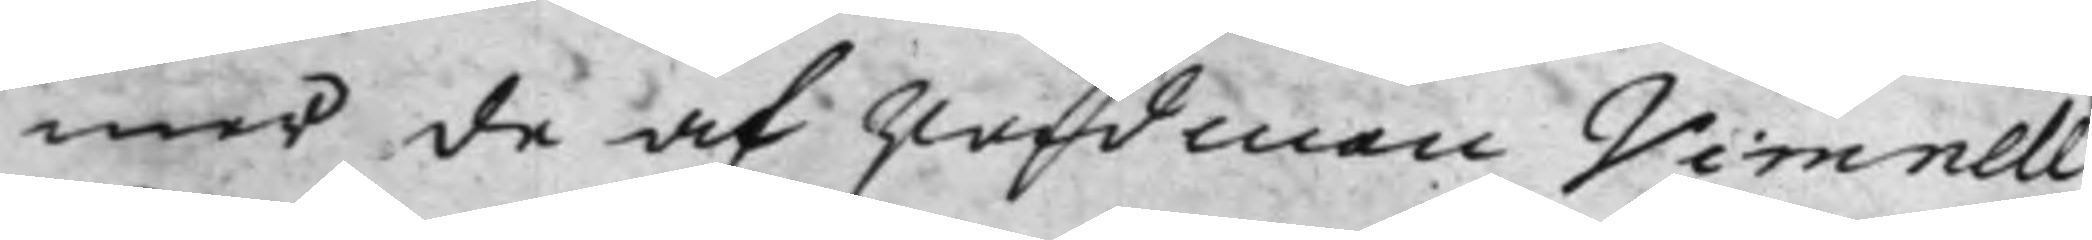mer de af rådman Vimnell
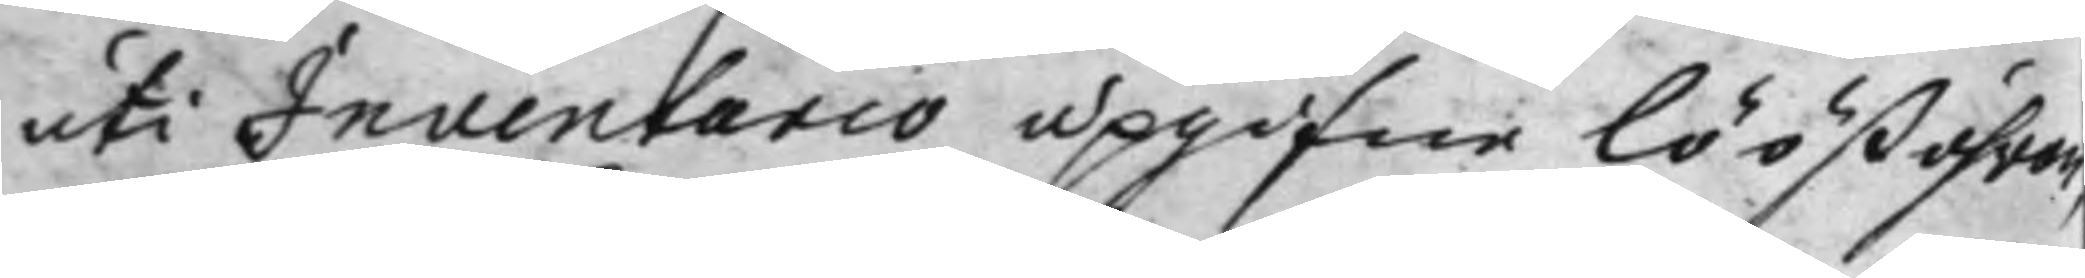uti Inventario upgifne löößöhrer.
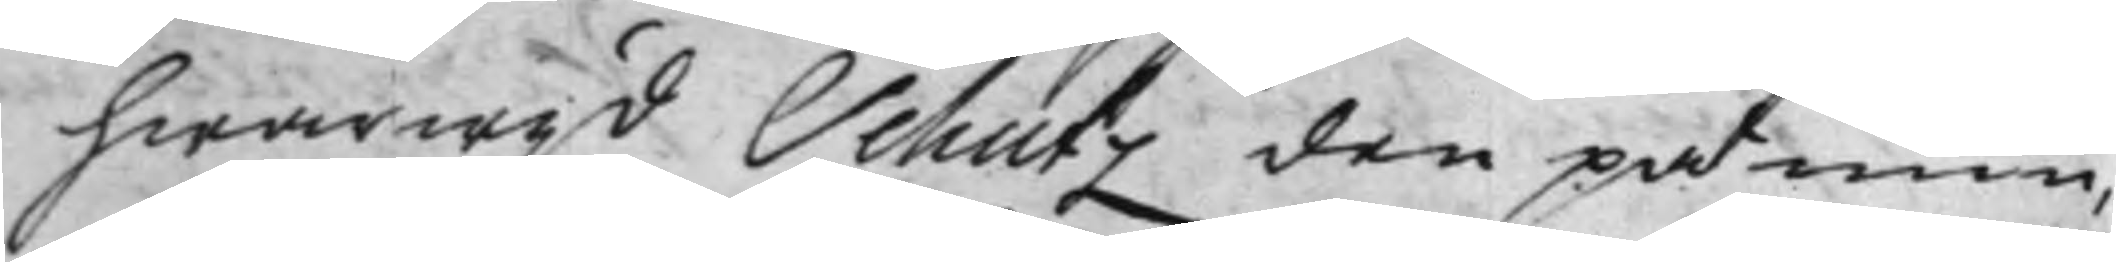hwarwijd Schutz den påmin¬
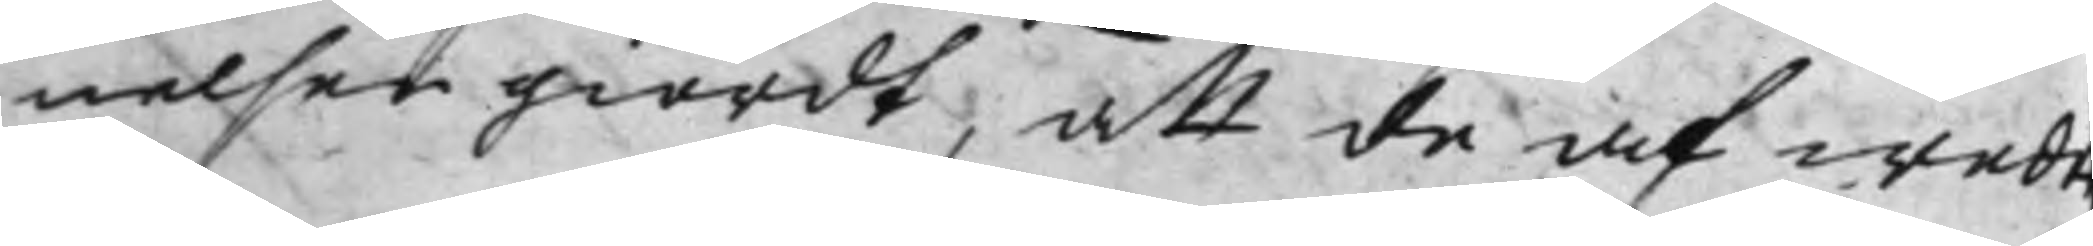nelser giordt, att de af wede¬
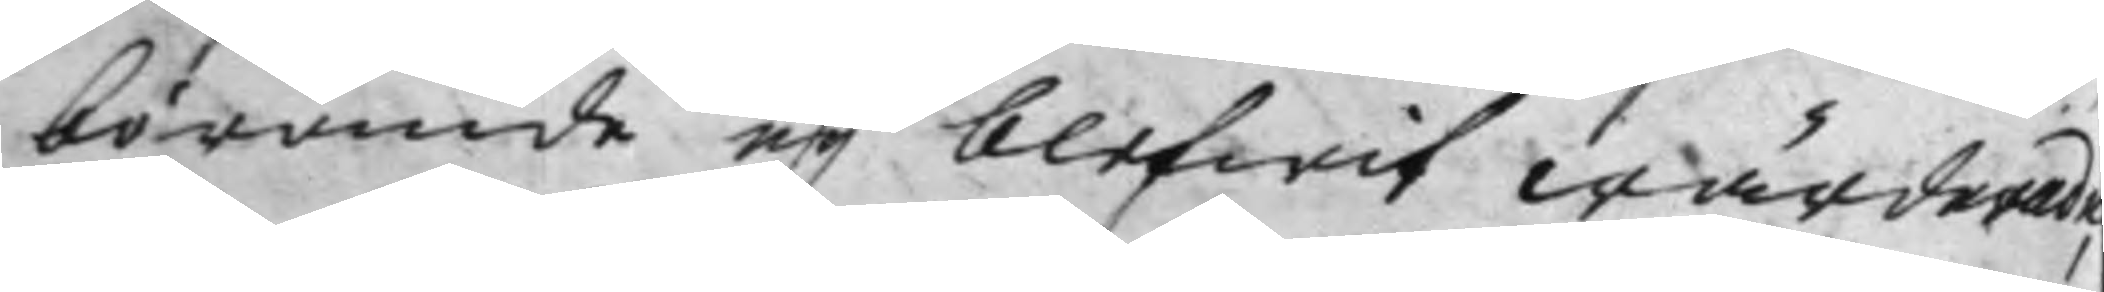börande eij blifwit wärderade,
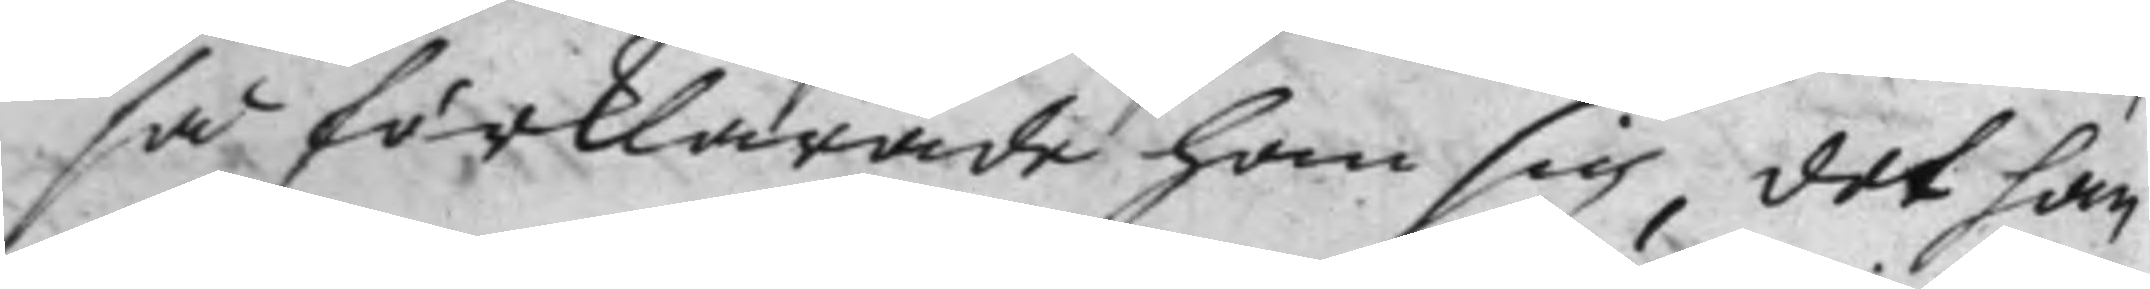så förklarade han sig, det han
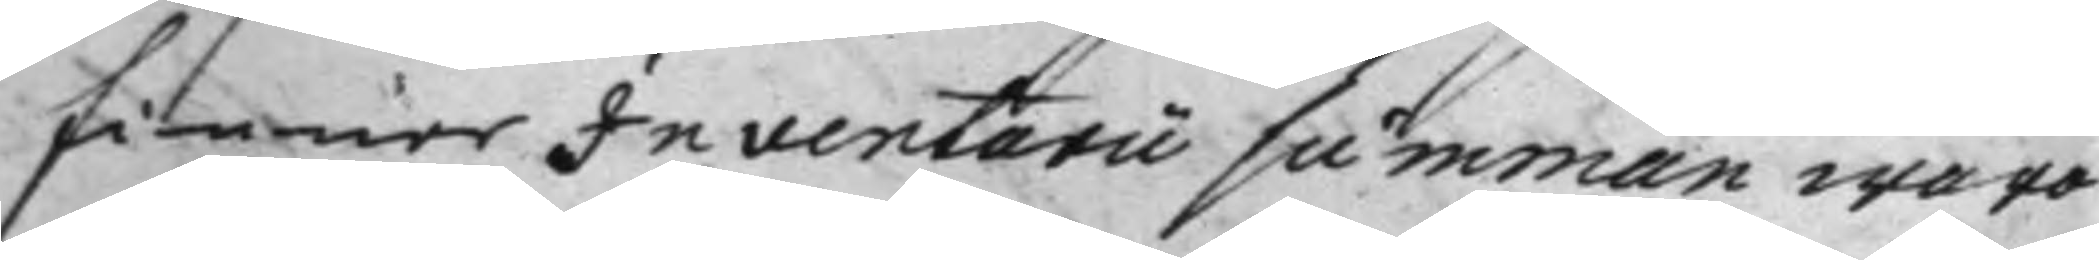finner Inventarii summan woro
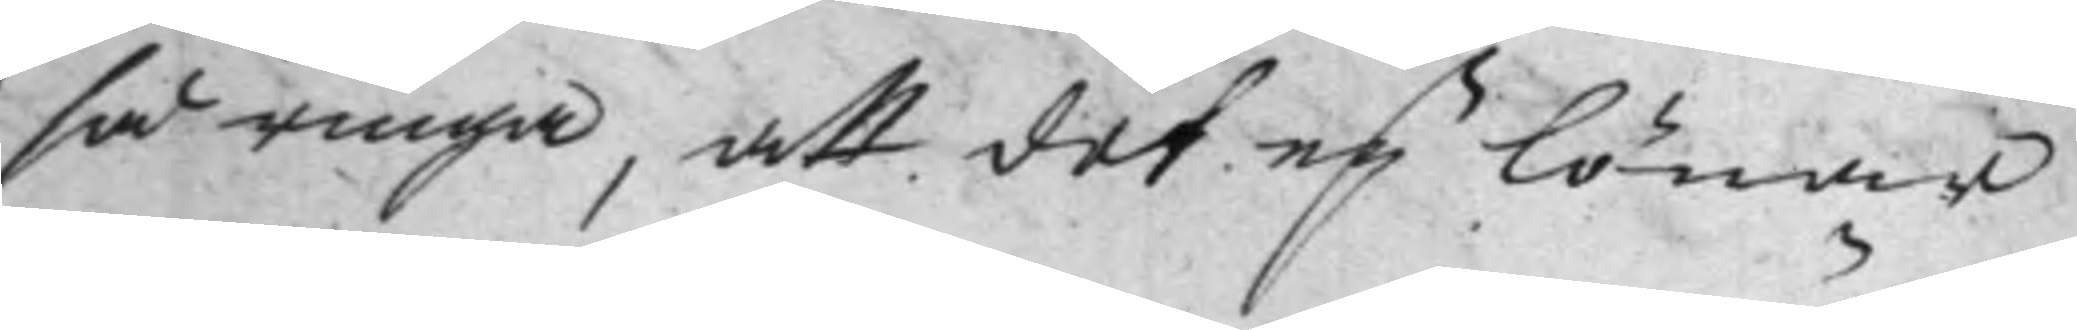så ringa att det eij lönar
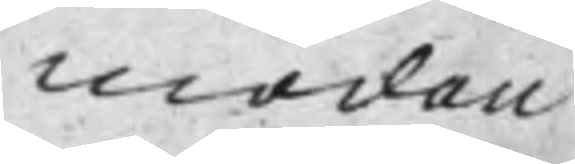mödan
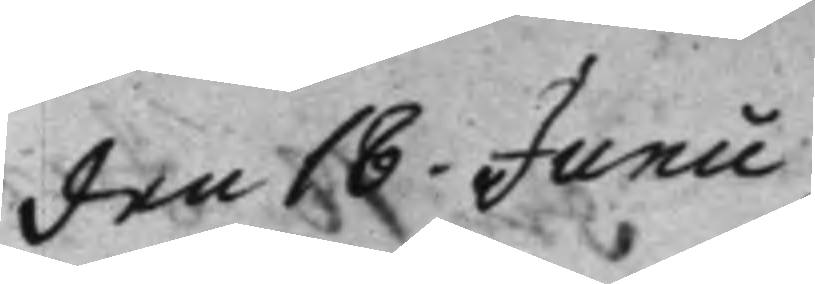den 18. Junii
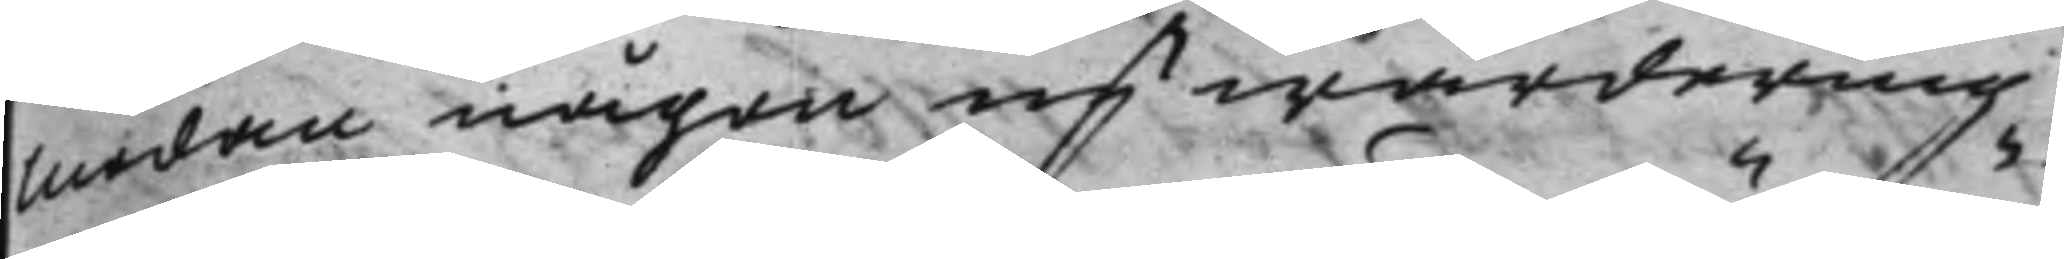mödan någon upwärdering
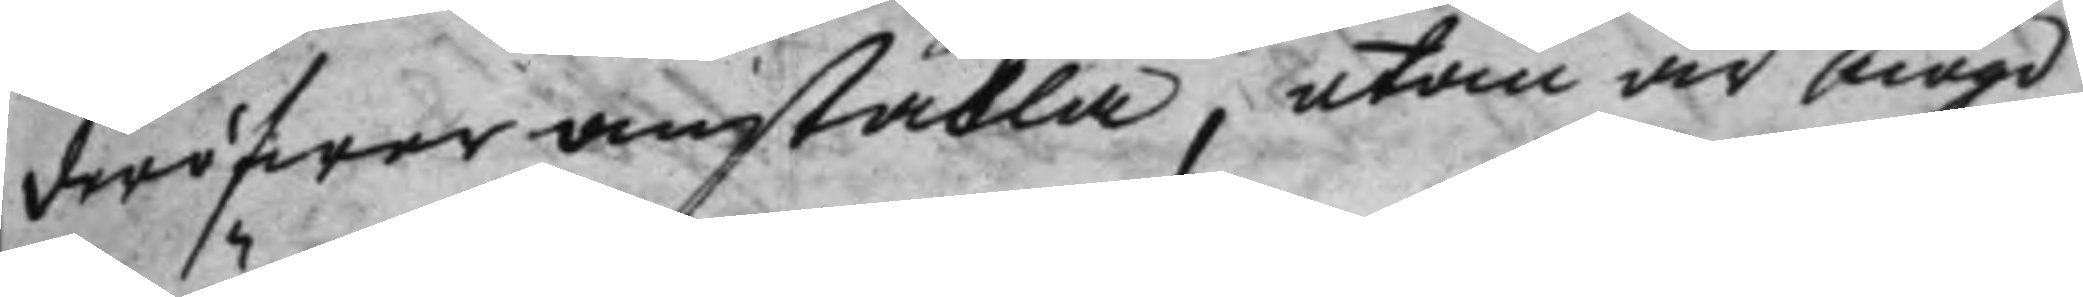deröfwer anställa, utan är nögd
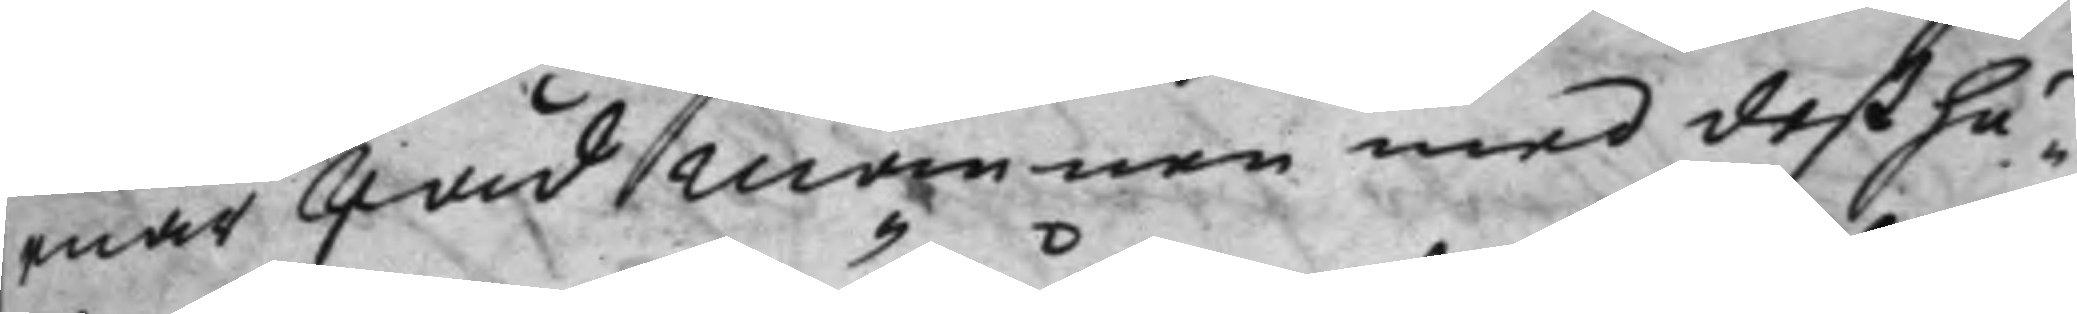enär Råd mannen med deß hu¬
